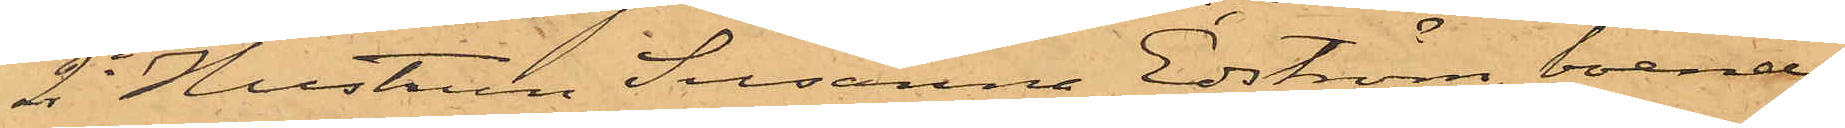2o Hustrun Susanna Edström, boende 
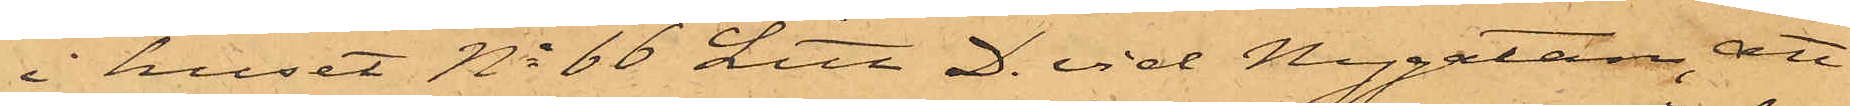i huset No 66 Litt. D. vid Nygatan, att
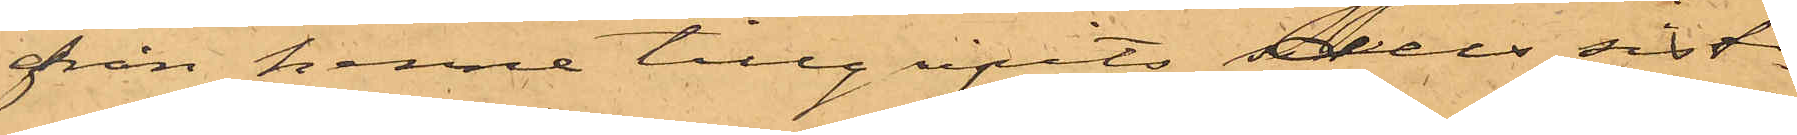från henne tillgripits den sist¬
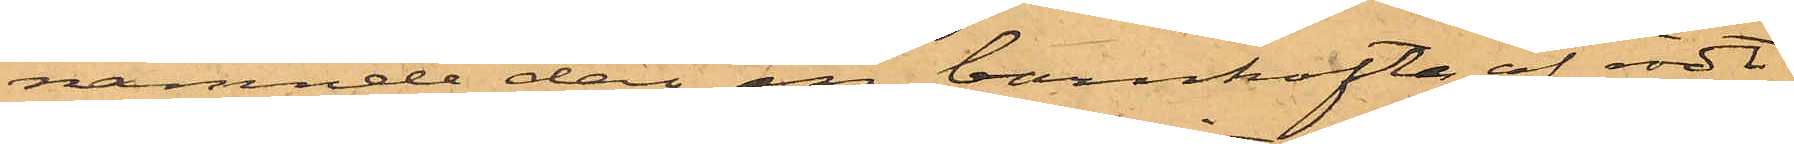nämnde dag en barnkofta af rödt
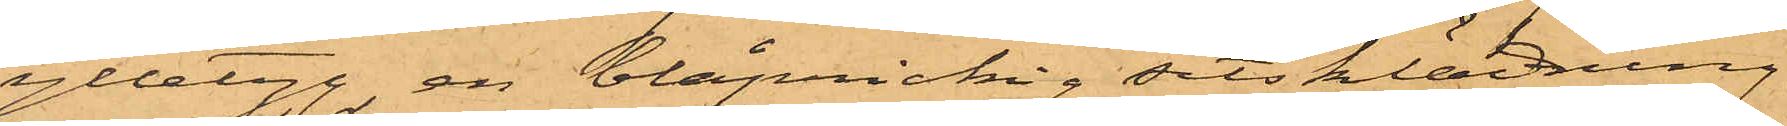ylletyg, en blåprickig sitsklädning och
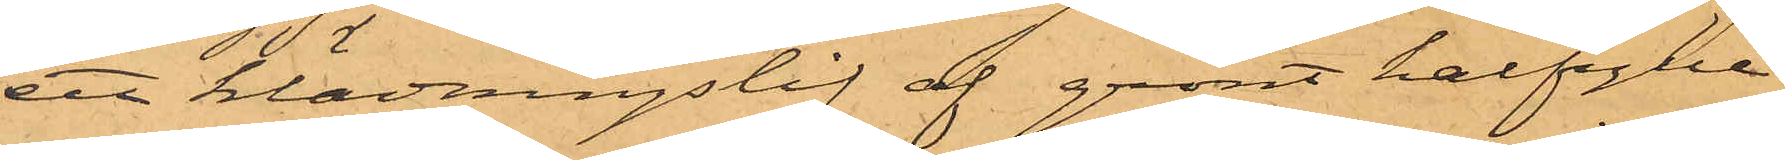ett klädningslif af grönt halfylle
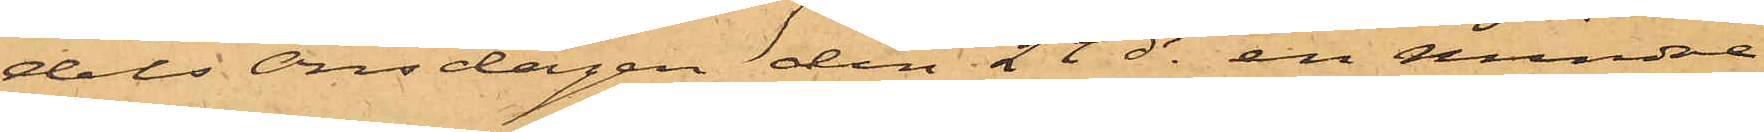dels Onsdagen den 24 ds en mindre
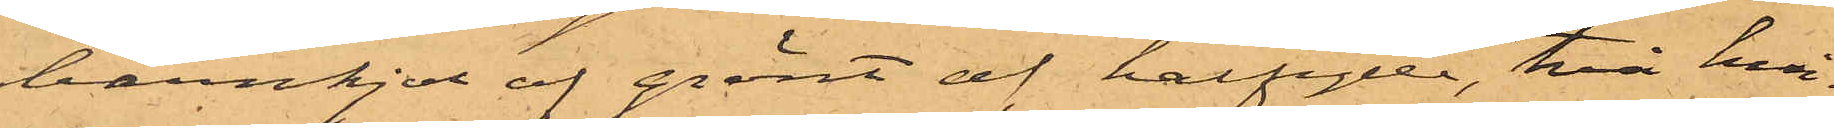barnkjol af grönt af halfylle, två hvi¬
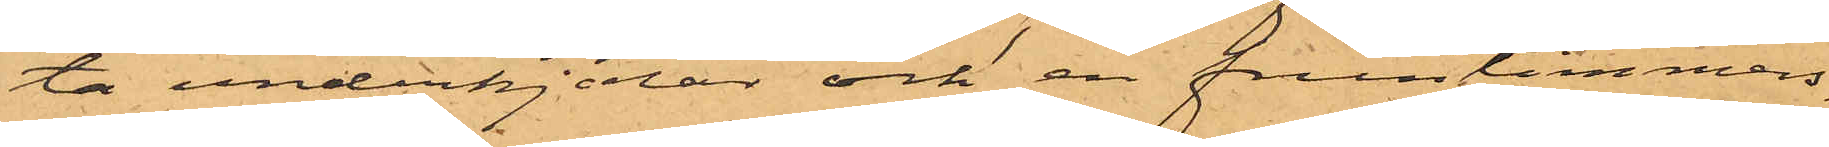ta underkjolar och en fruntimmers¬
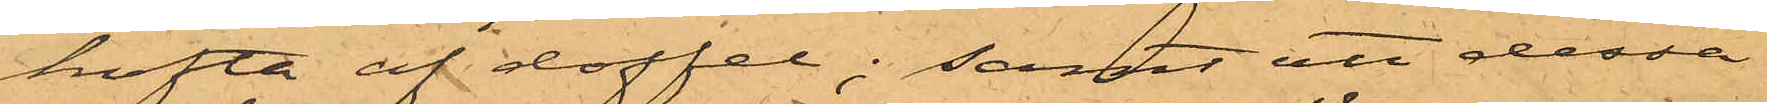kofta af doffel; samt att dessa
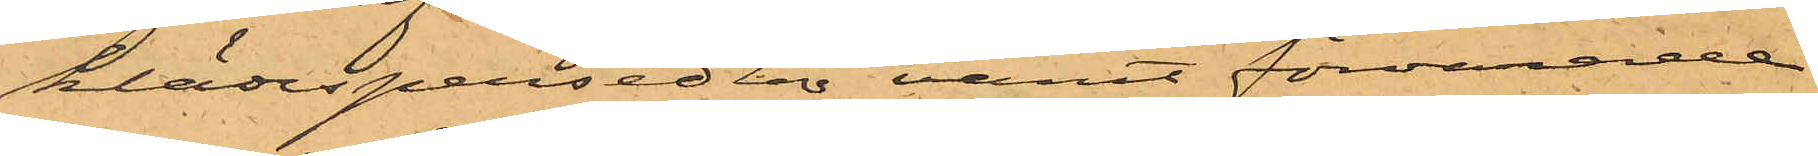klädespersedlar varit förvarade
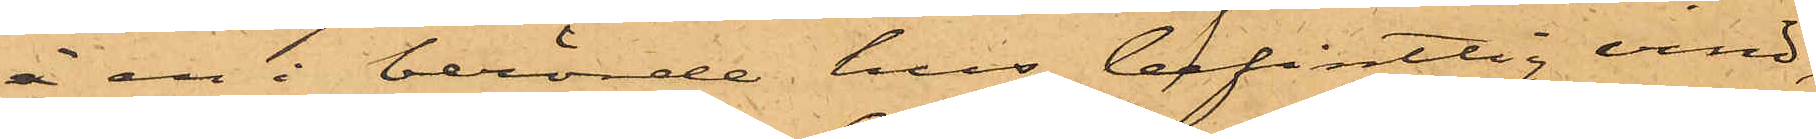å en i berörde hus befintlig vind,
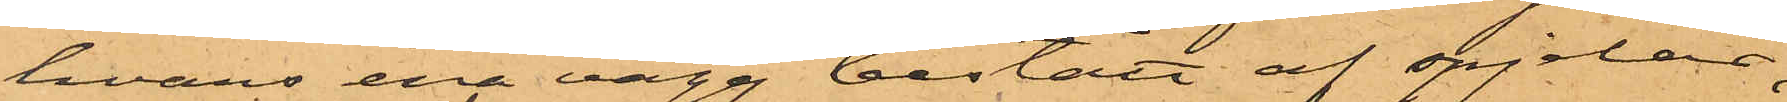hvars ena vägg bestått af spjelor,
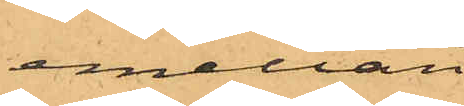emellan
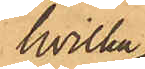hvilka
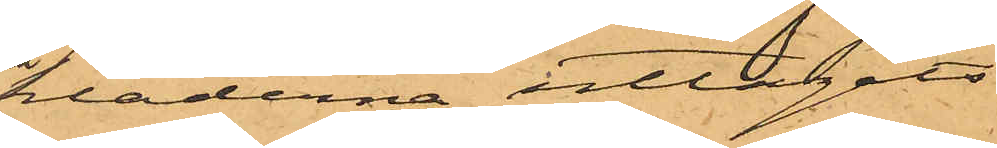kläderna uttagits.
